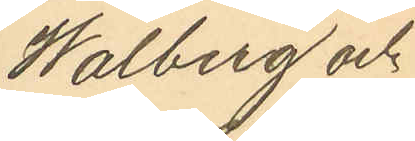Walberg och
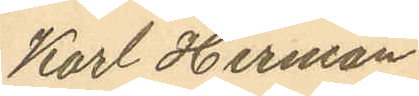Karl Herman
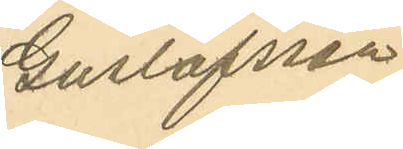Gustafsson
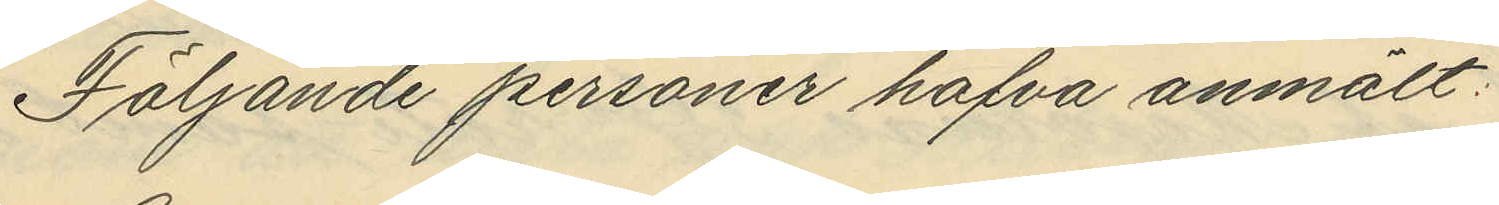Följande personer hafva anmält:
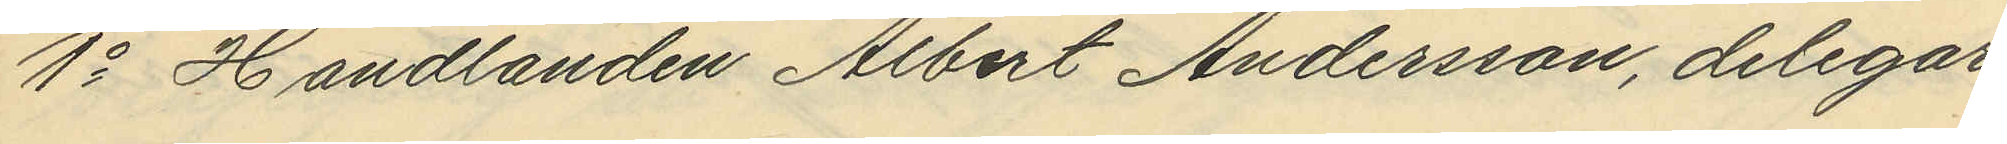1o Handlanden Albert Andersson, delegare
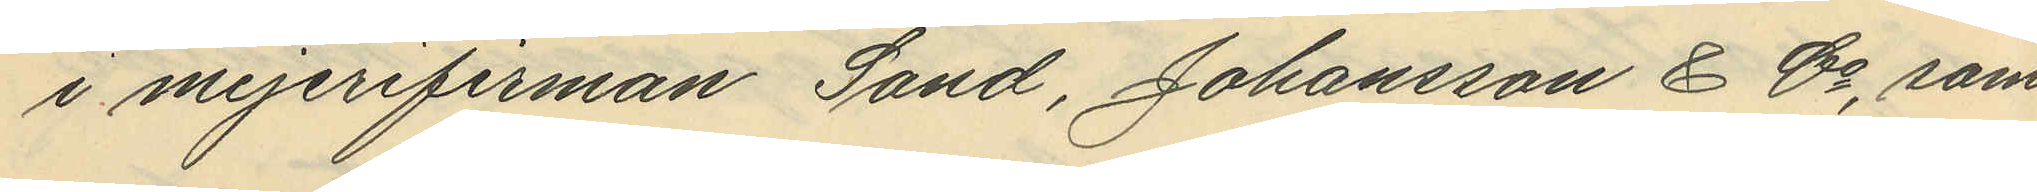i mejerifirman Sand, Johansson & Co, som
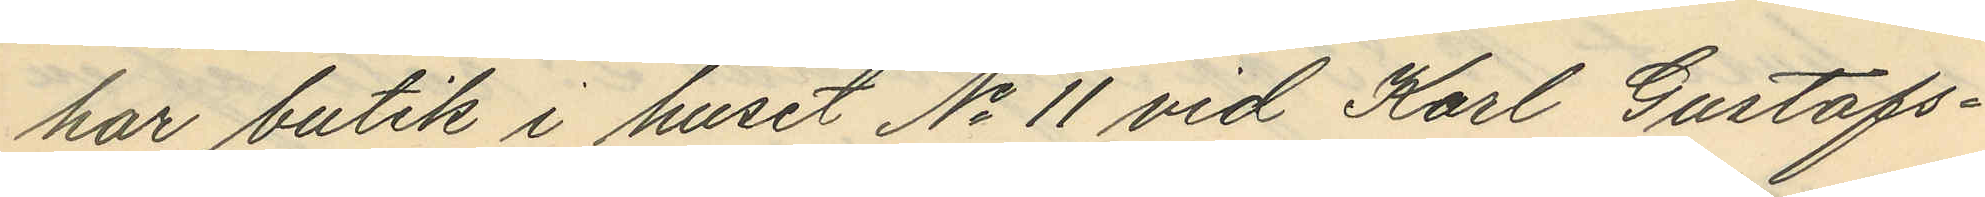har butik i huset No 11 vid Karl Gustafs¬
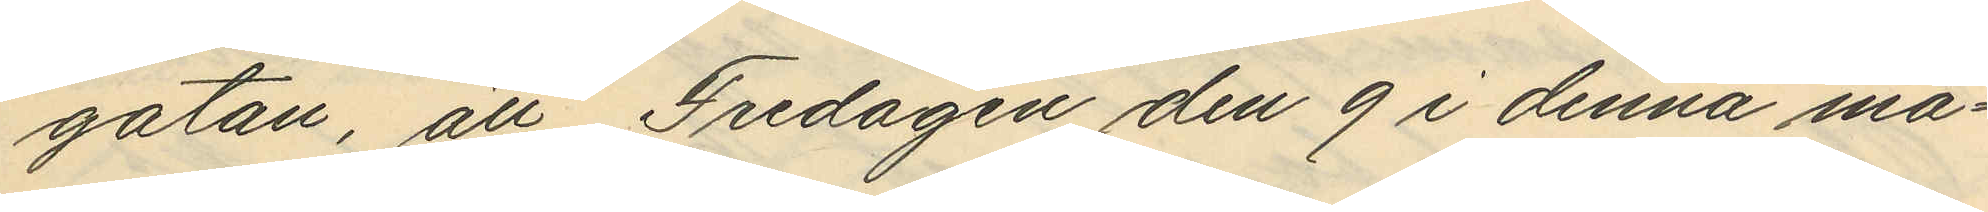gatan, att Fredagen den 9 i denna må¬
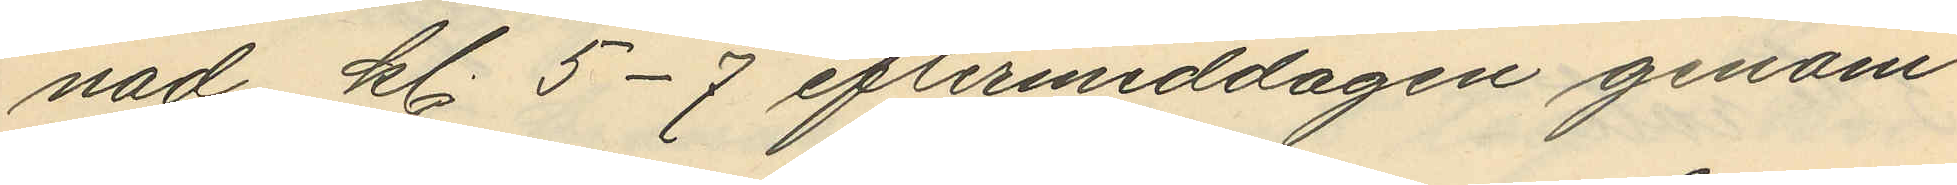nad kl. 5-7 eftermiddagen genom
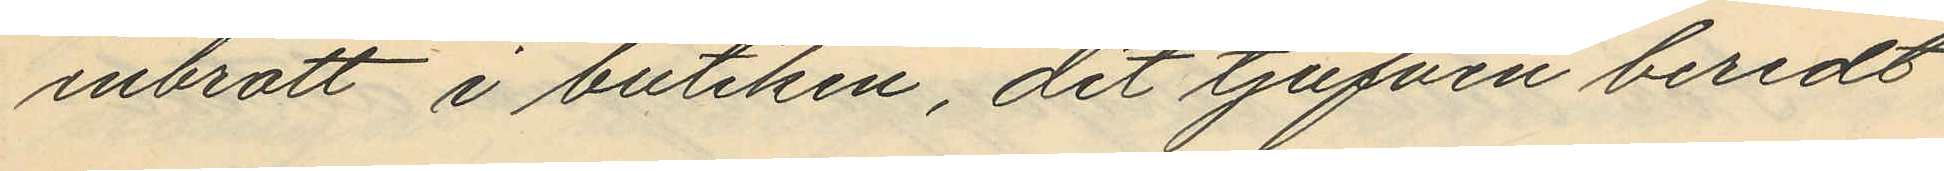inbrott i butiken, dit tjufven beredt
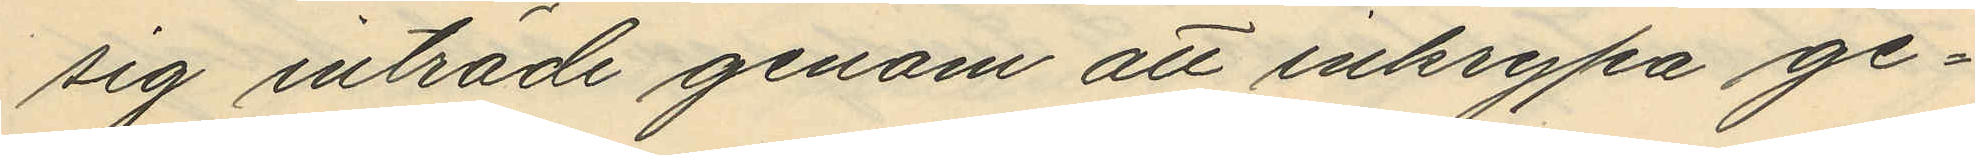sig inträde genom att inkrypa ge¬
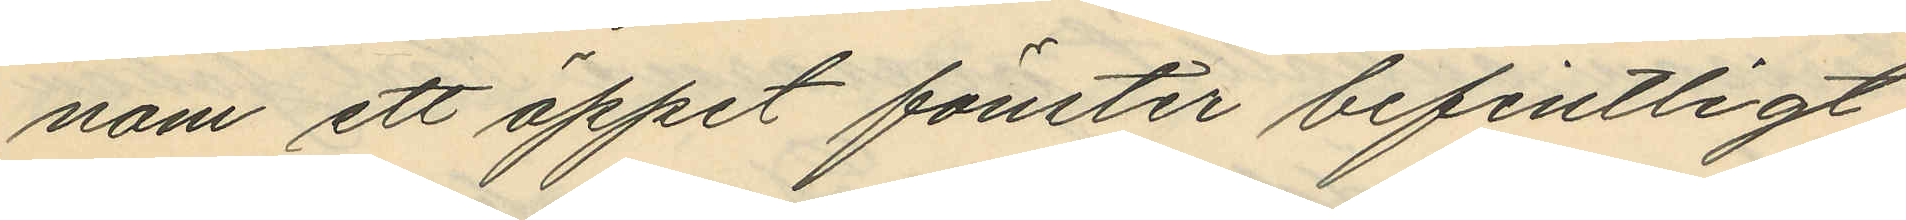nom ett öppet fönster befintligt
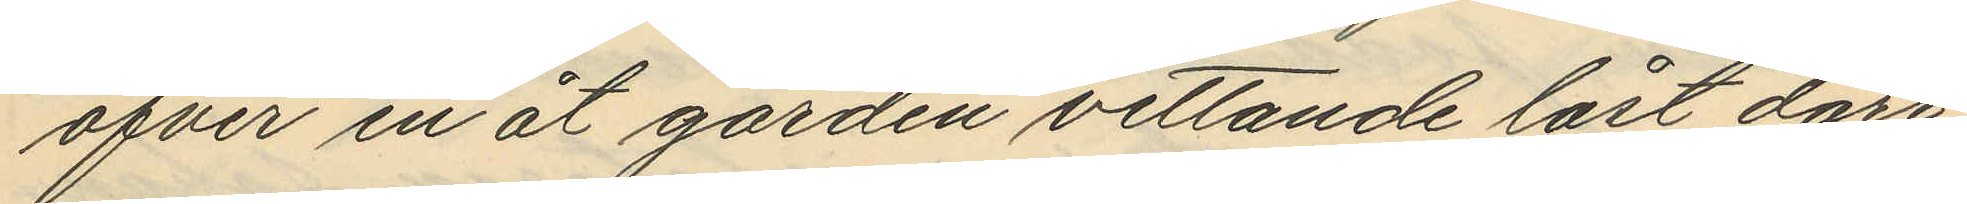öfver en åt gården vettande låst dörr
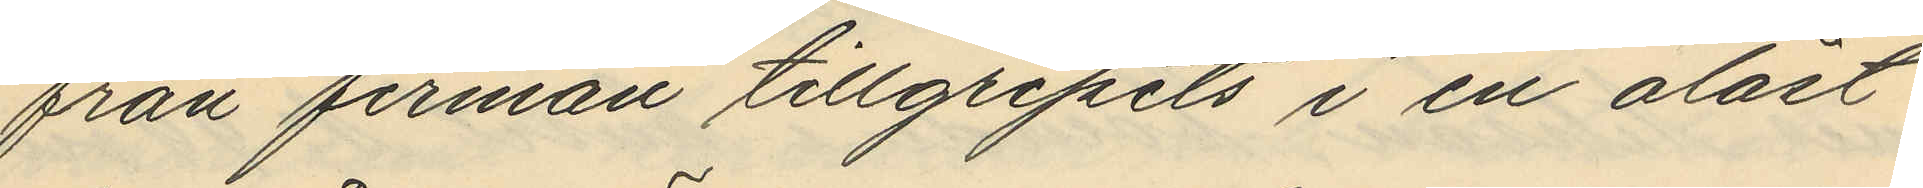från firman tillgripits i en olåst
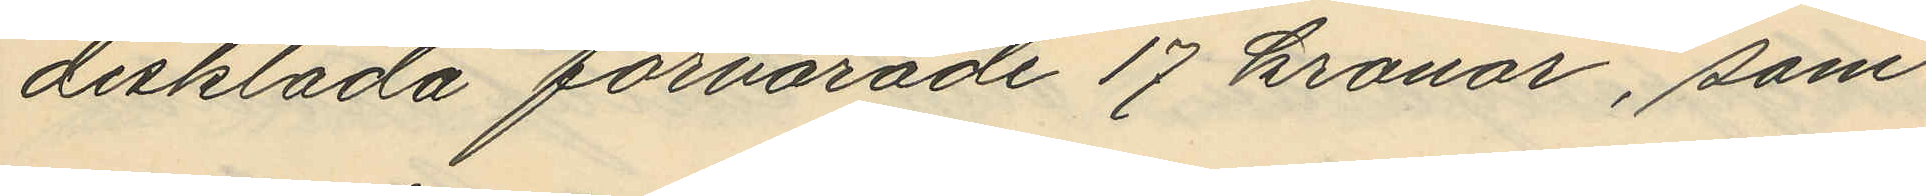disklåda förvarade 17 kronor, som
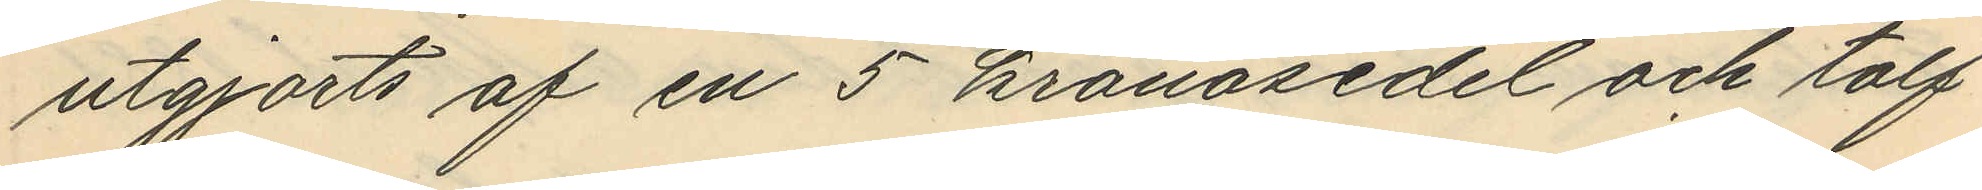utgjorts af en 5 kronosedel och tolf
